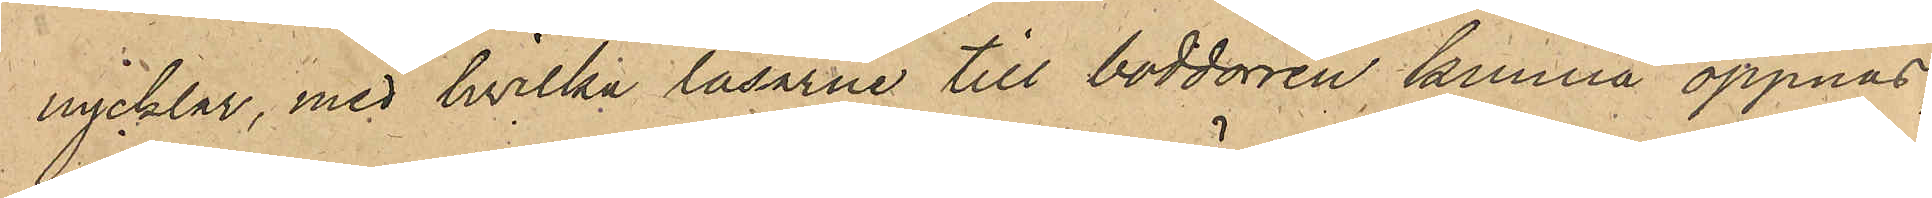nycklar, med hvilka låsarne till boddörren kunna öppnas,
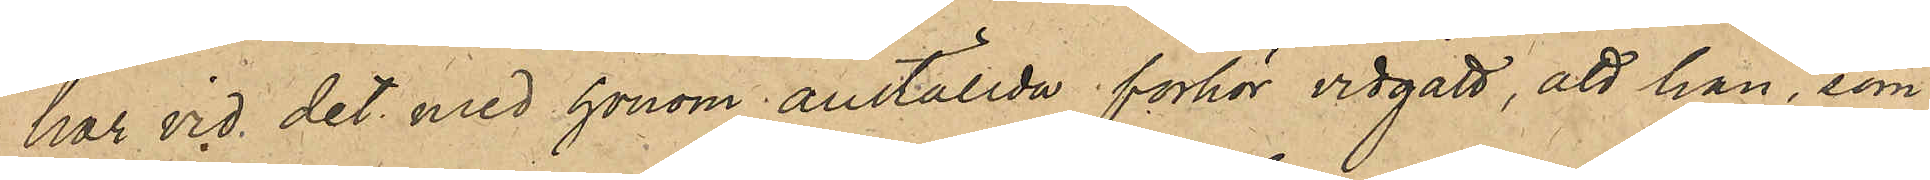har vid det med honom anställda förhör vidgått, att han, som
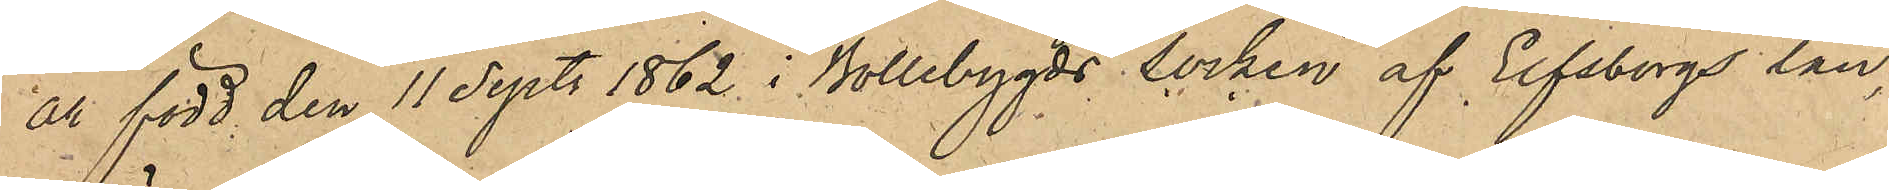är född den 11 Sept. 1862 i Bollebygds Socken af Elfsborgs län,
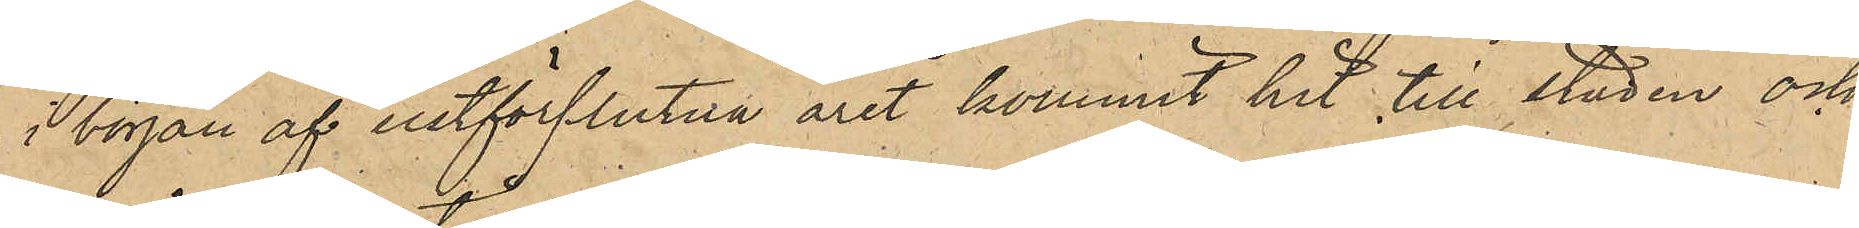i börja af sistförflutna året kommit hit till staden och
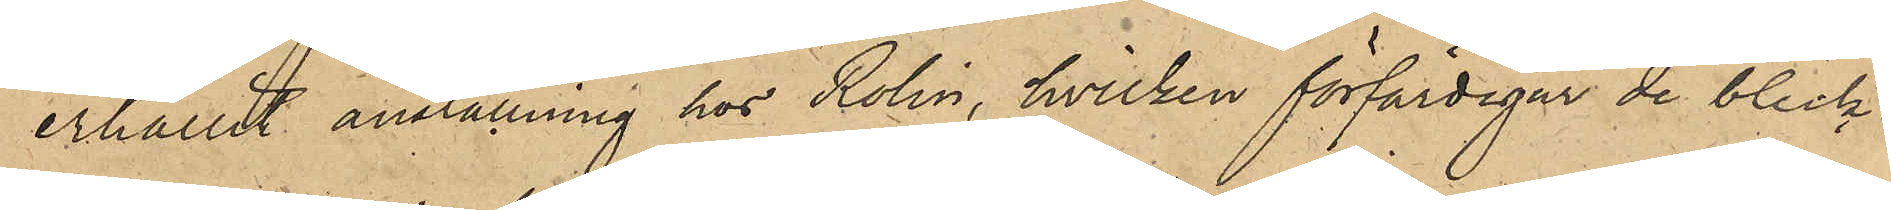erhållit anställning hos Rolin, hvilken förfärdigar de bleck¬
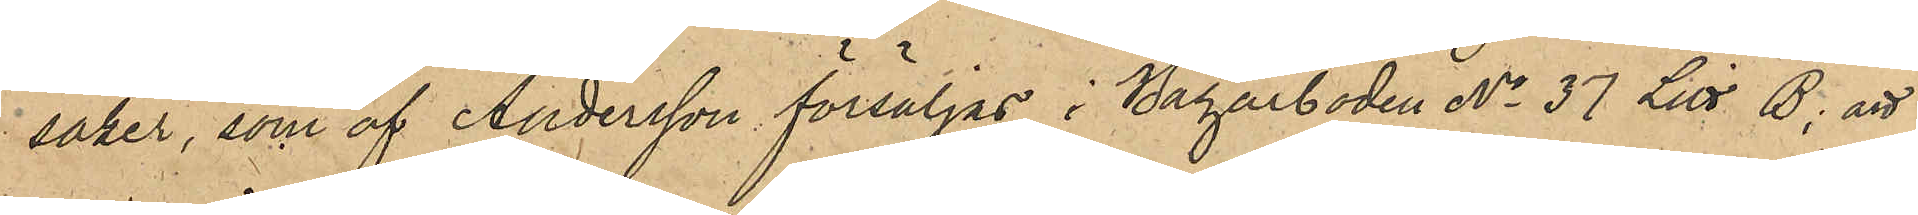saker, som af Andersson försäljas i Bazarboden No 37 Litt B; att
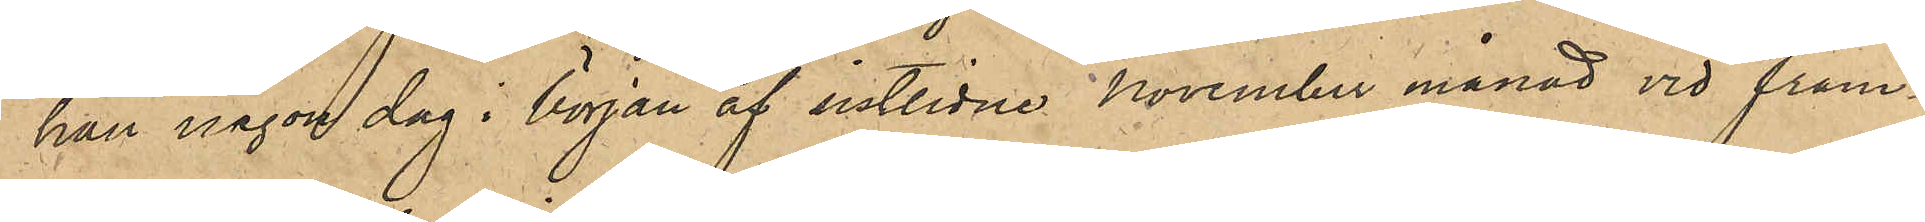han någon dag i början af sistlidne november månad vid fram¬
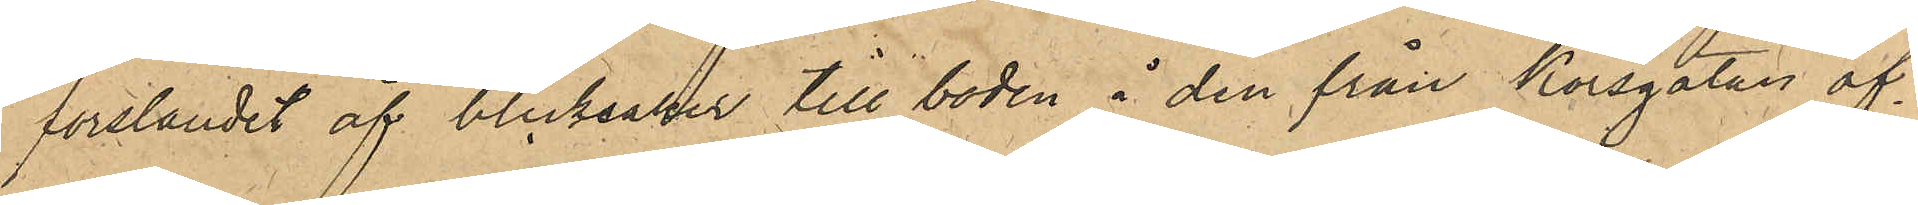forslandet av blicksaker till boden å den från Korsgatan öf¬
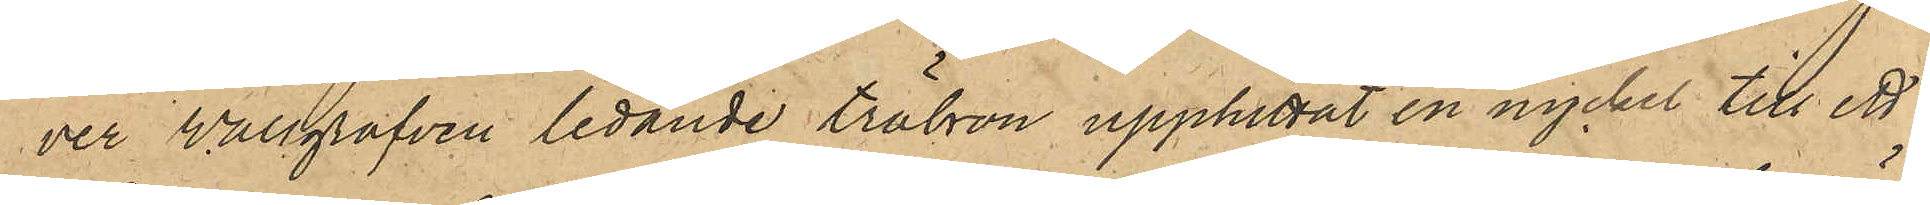ver Wallgrafven ledande träbron upphittat en nyckel till ett
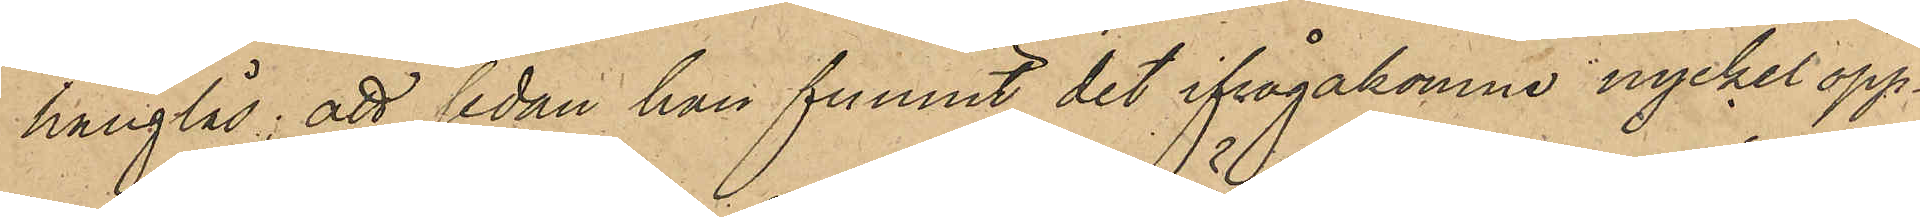hänglås; att sedan han funnit det ifrågakomne nyckel öpp¬
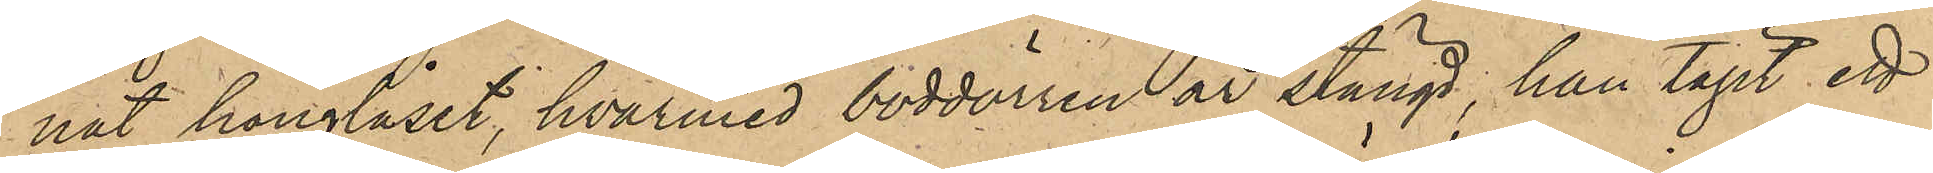nat hänglåset, hvarmed boddörren är stängd, han tagit ett
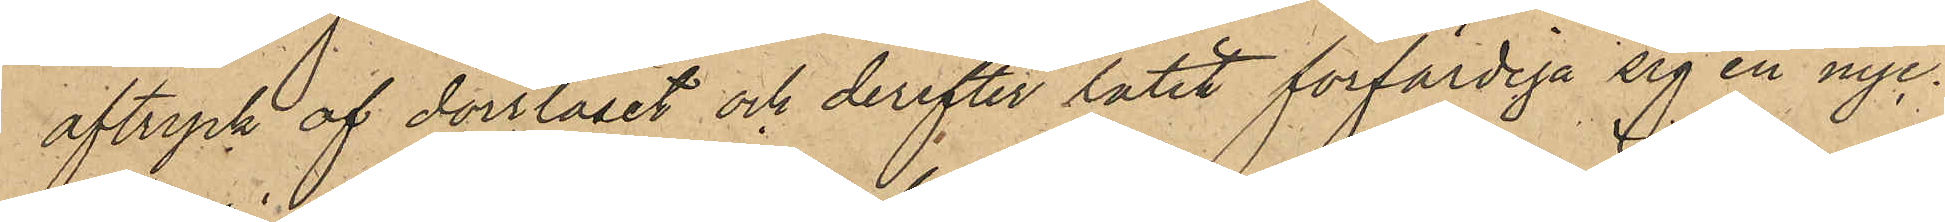aftryck af dörrlåset och derefter låtit förfärdiga sig en nyc¬
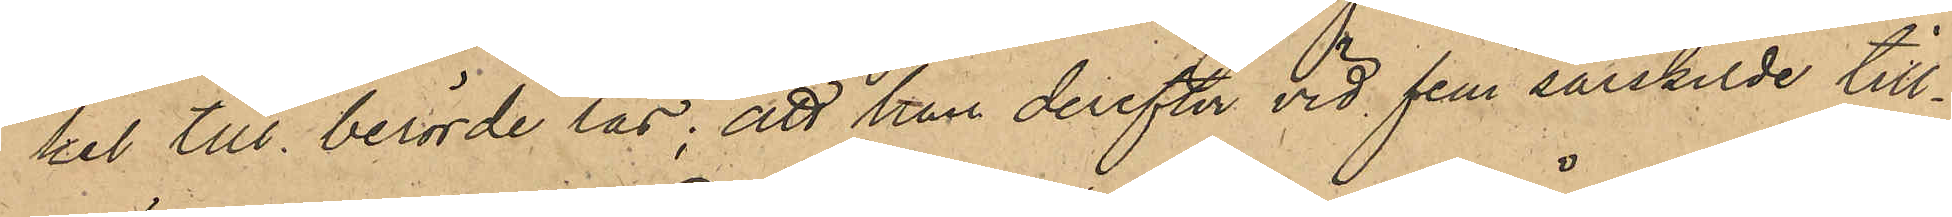kel till berörde lås; att han derefter vid fem särskilde till¬
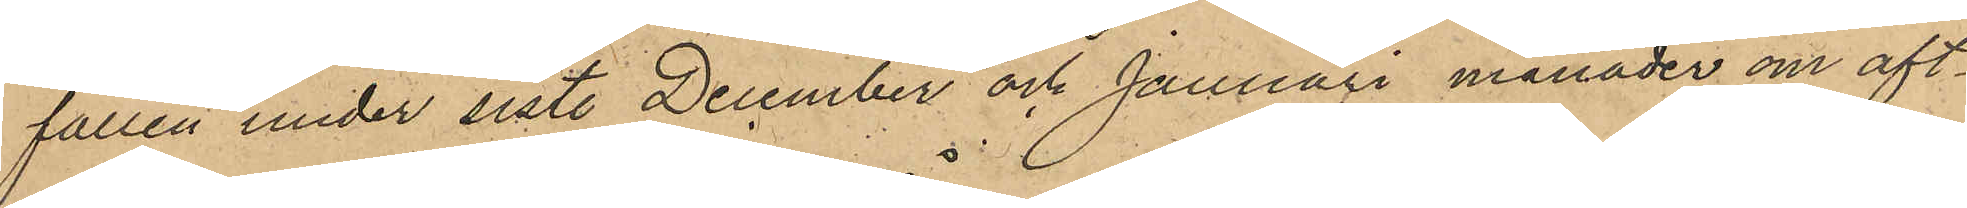fällen under sistl December och Januari månader om aft¬
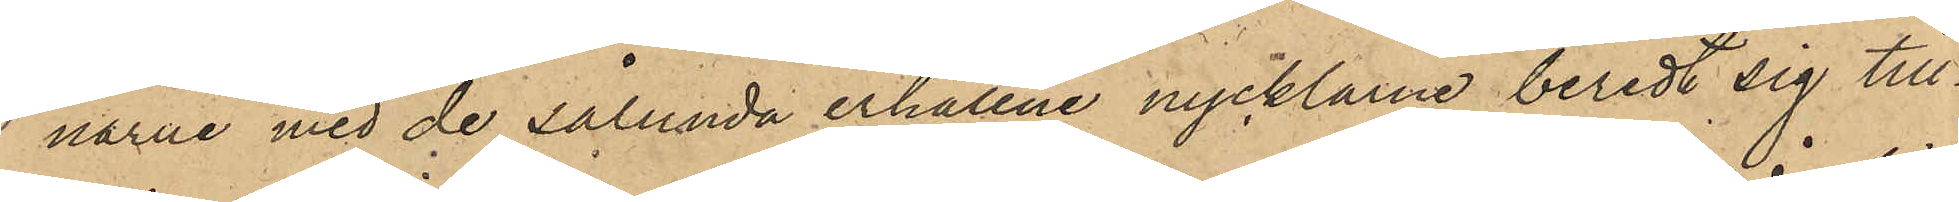narne med de sålunda erhållne nycklarne beredt sig till¬
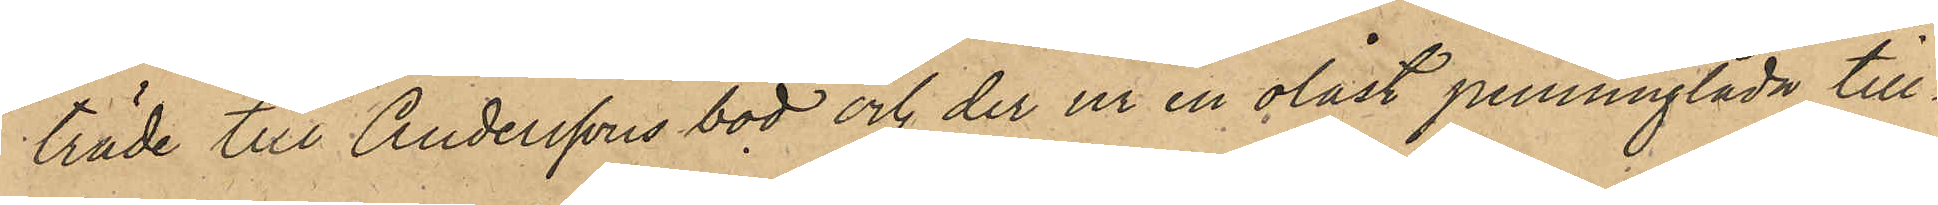träde till Anderssons bod och der ur en olåst penninglåda till¬
